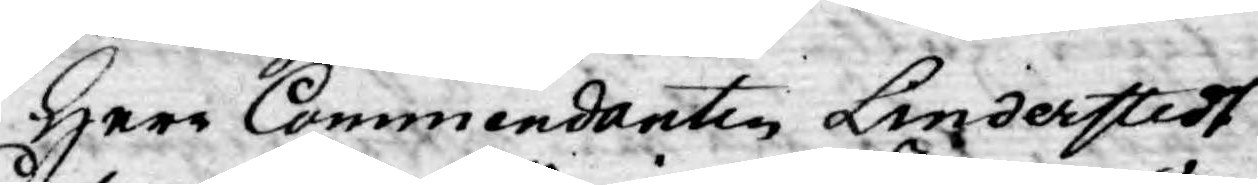Herr Commendanten Linderstedt
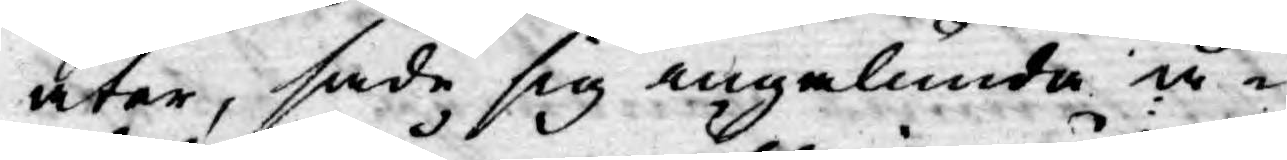åter, sade sig ingalunda å¬
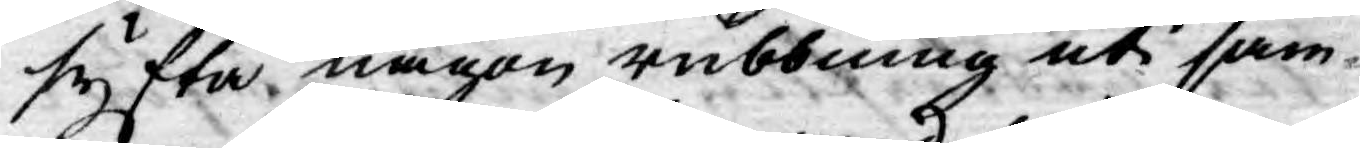syfta någon rubbning uti sam¬
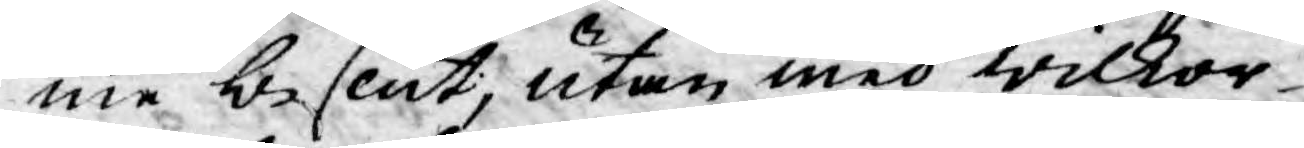me beslut, utan med wilkor
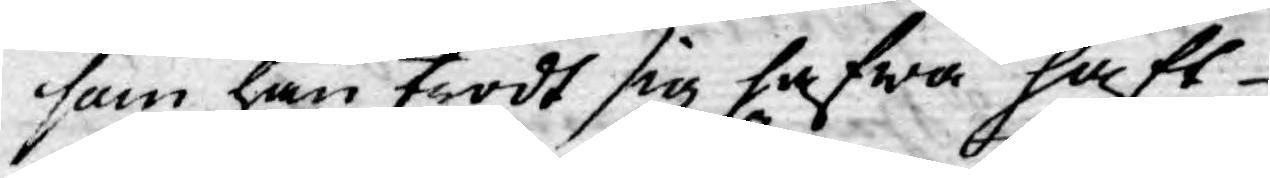som han trodt sig hafwa haft
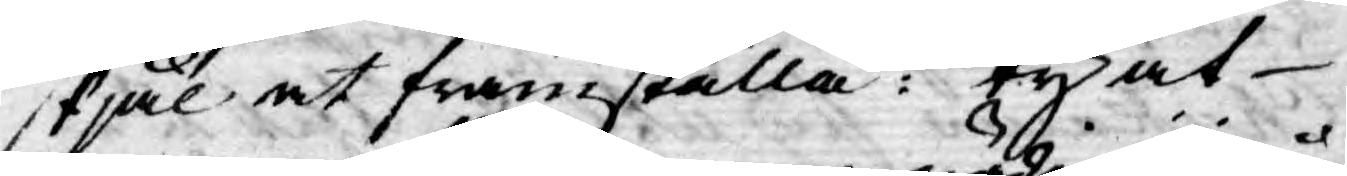skjäl at framställa: ty at
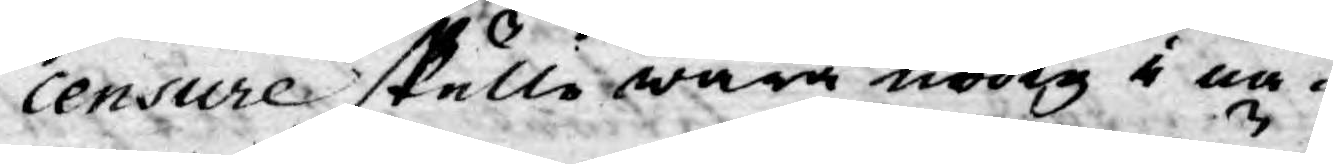censure skulle wara nödig i nå¬
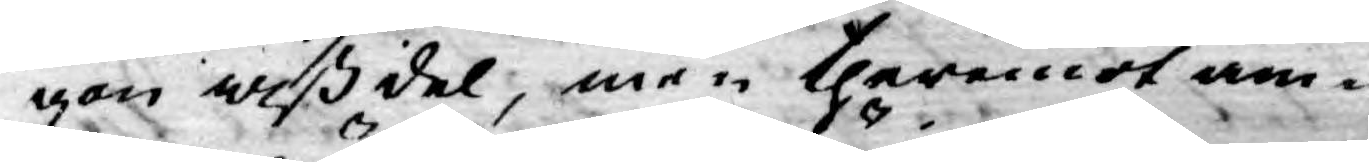gon wiß del, men theremot äm¬
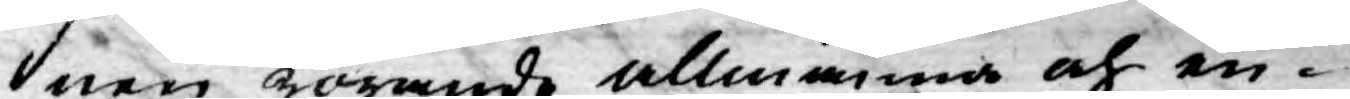nen rörande allmänna och en¬
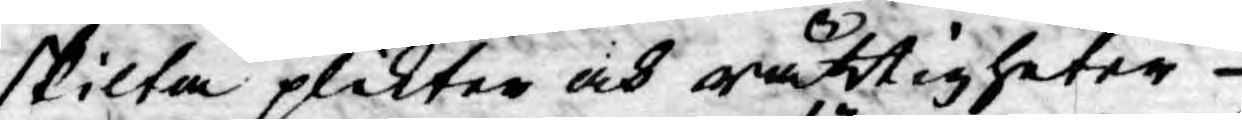skilta plikter och rättigheter
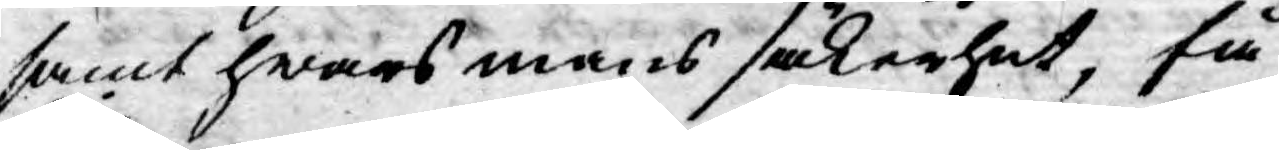samt hwars mans säkerhet, få,
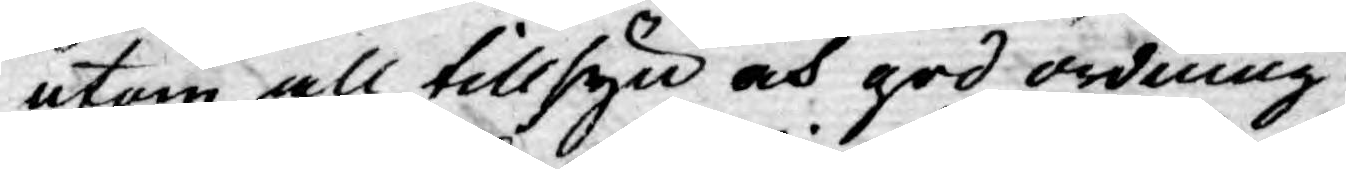utom all tillsyn och god ordning
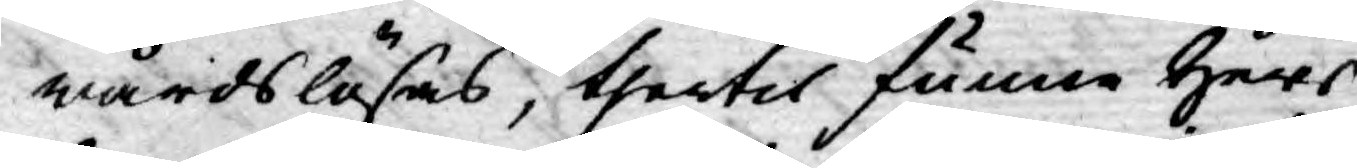wårdslösas, thertil funne Herr
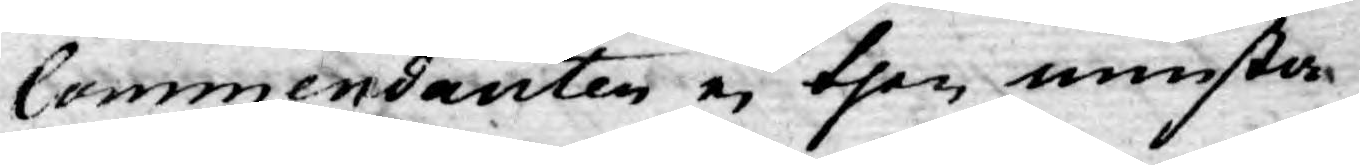Commendanten ej then minsta
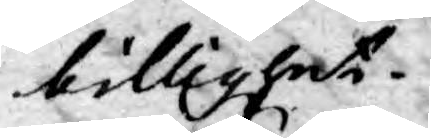billighet.
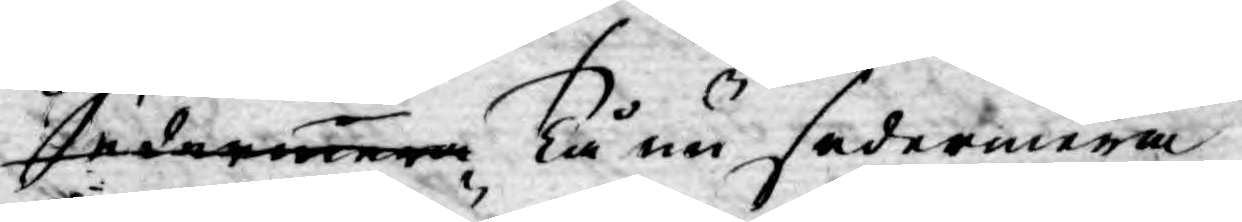Sedarmera Tå nu sedermera
